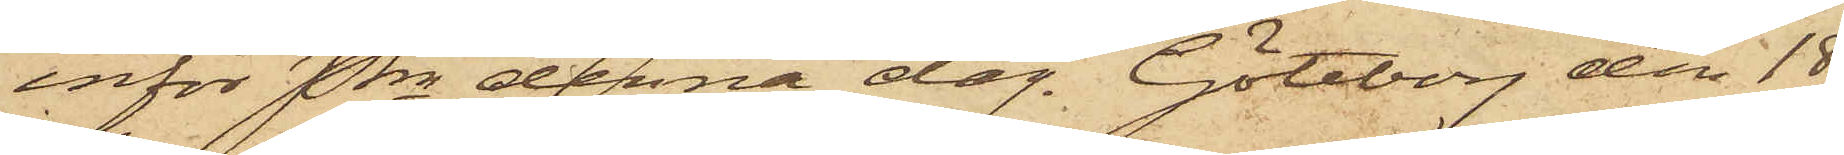inför Pkn denna dag. Göteborg den 18
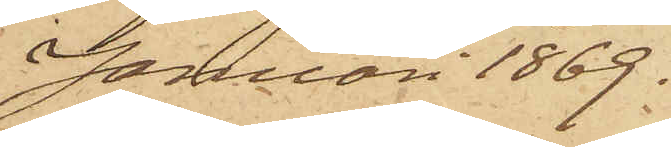Januari 1869.
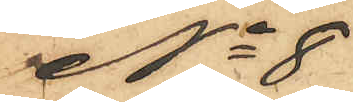No 8
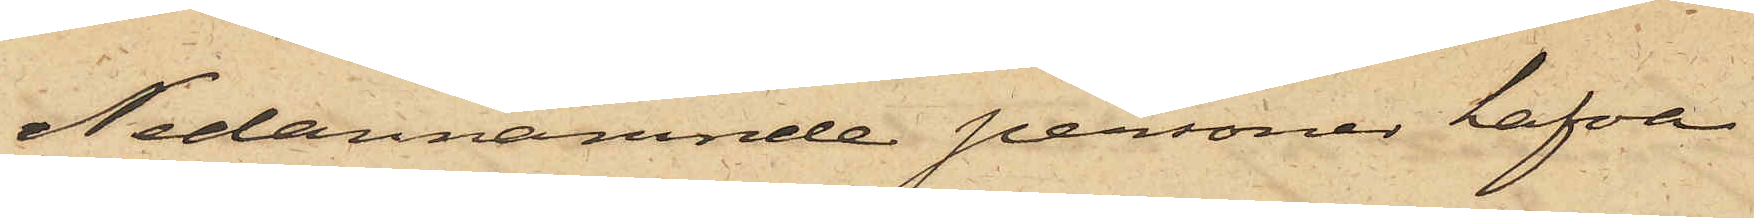Nedannämnde personer hafva
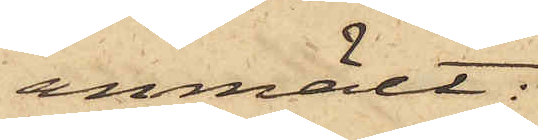anmält:
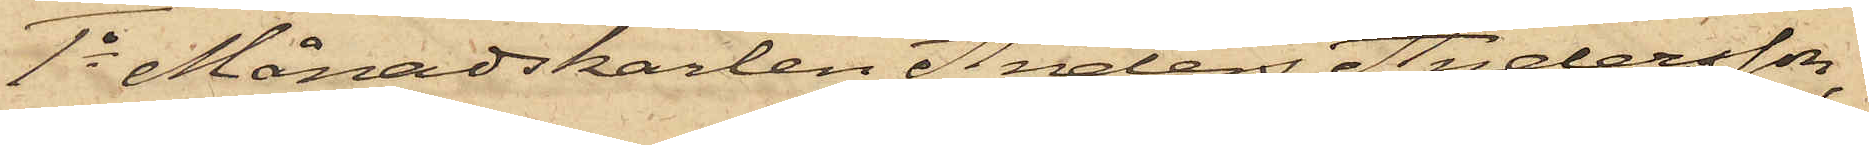1o Månadskarlen Anders Andersson,
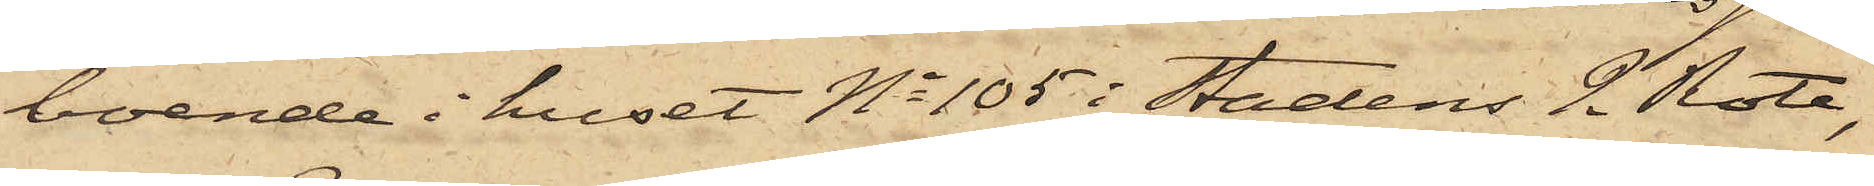boende i huset No 105 i Stadens 2 Rote,
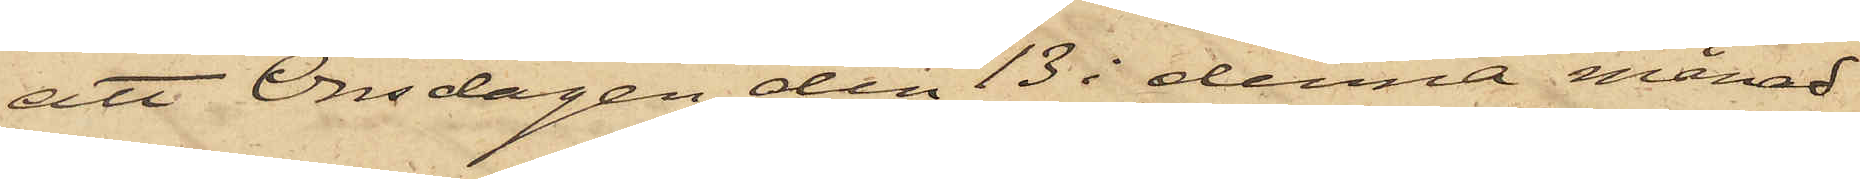att Onsdagen den 13 i denna månad
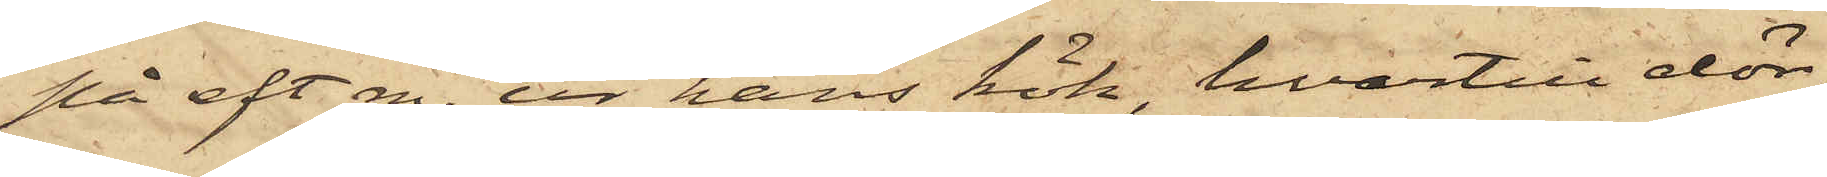på eft m. ur hans kök, hvartill dör¬
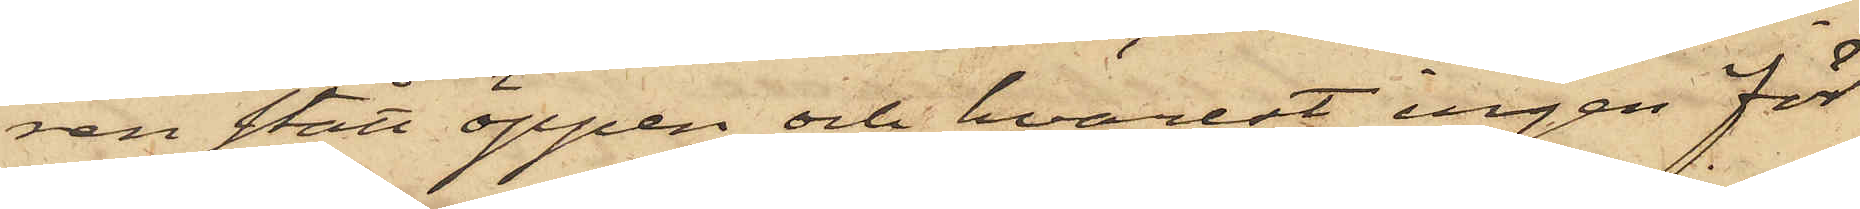ren stått öppen och hvarest ingen för
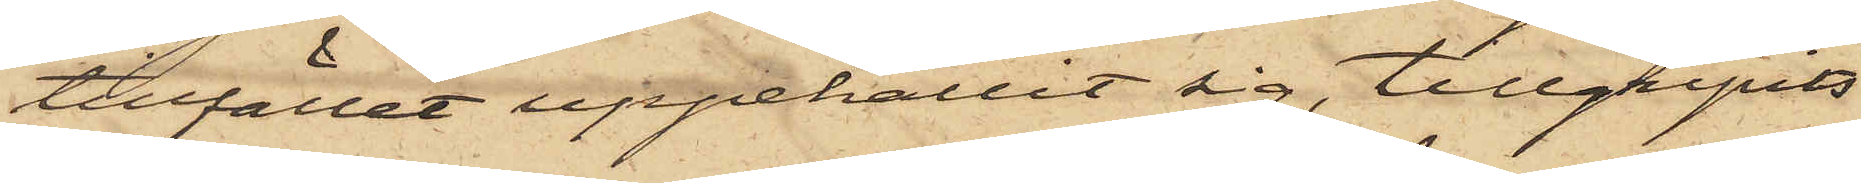tillfället uppehållit sig, tillgripits
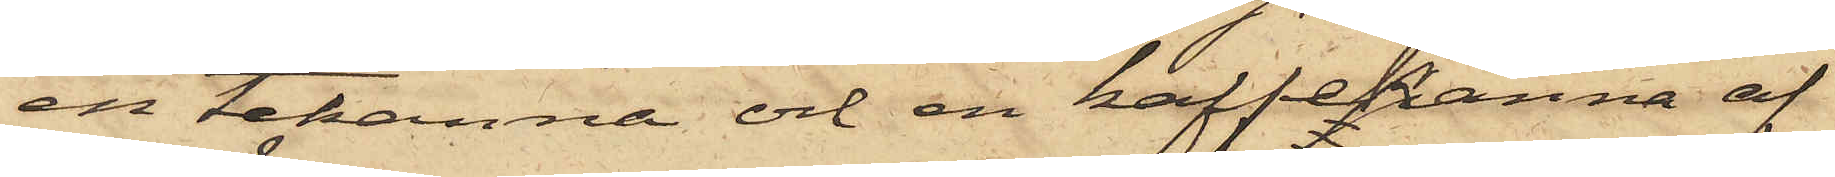en tekanna och en kaffekanna af
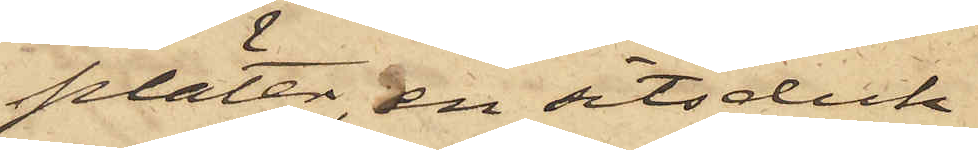pläter, en sitsduk
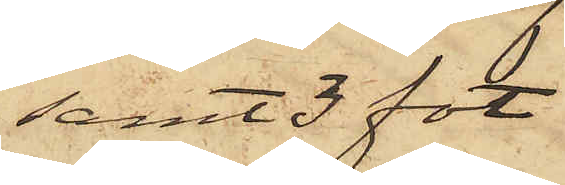samt 3 fot
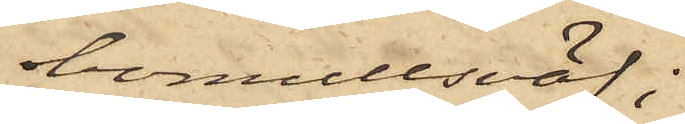bomullsväf;
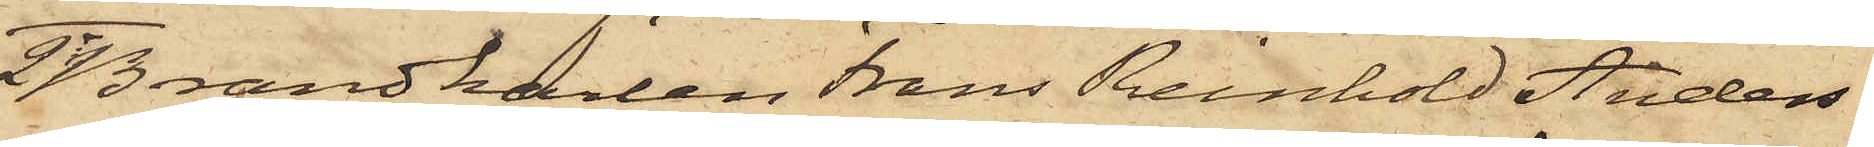2o Brandkarlen Frans Reinhold Anders¬
